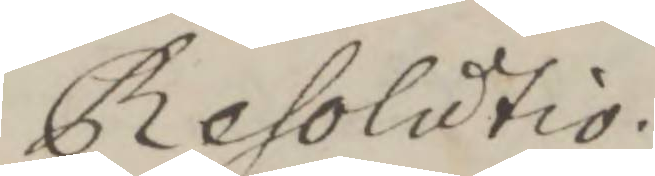Resolutio.
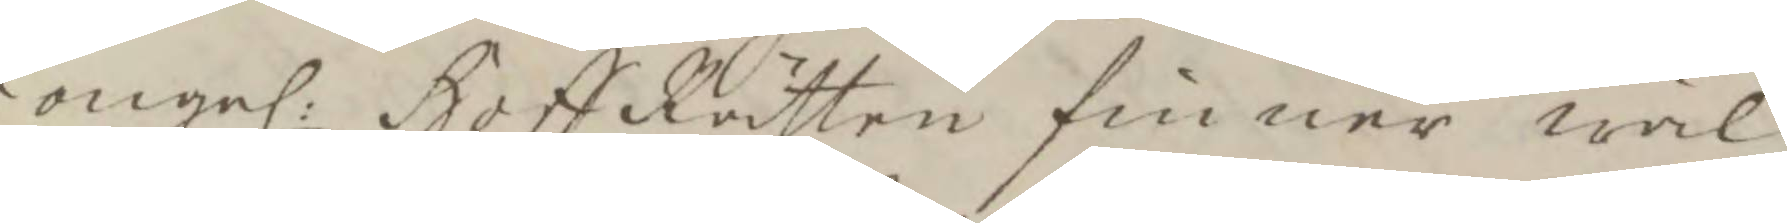Kongl. Hoff Rätten finner wäl
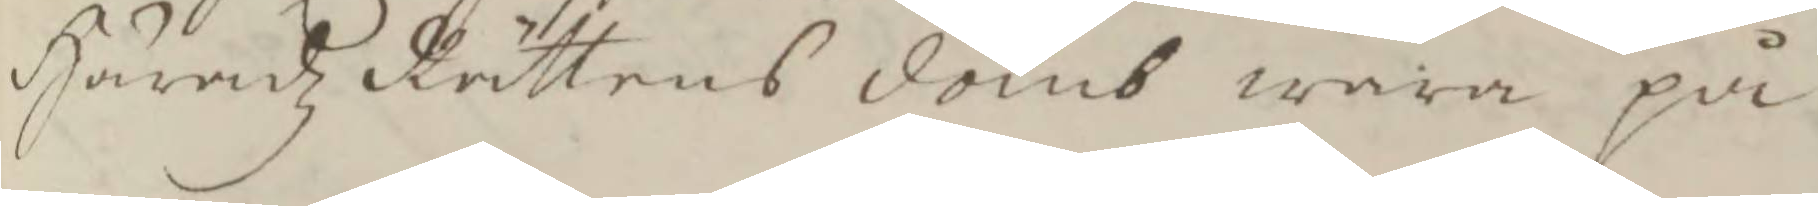Häradz Rättens domb wara på 
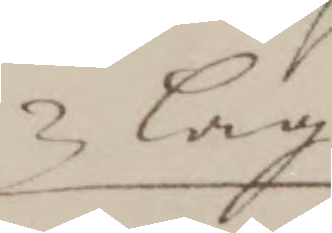lag
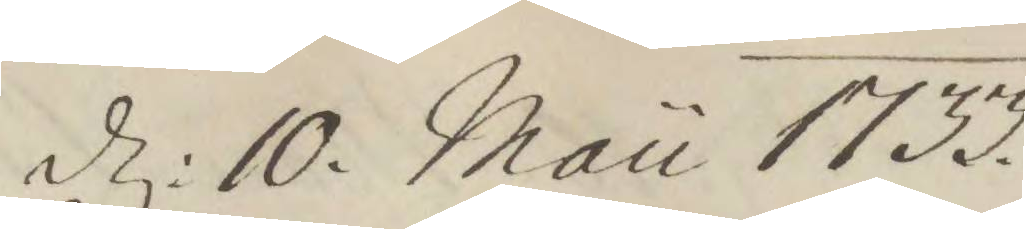d. 10. Mau 1733.
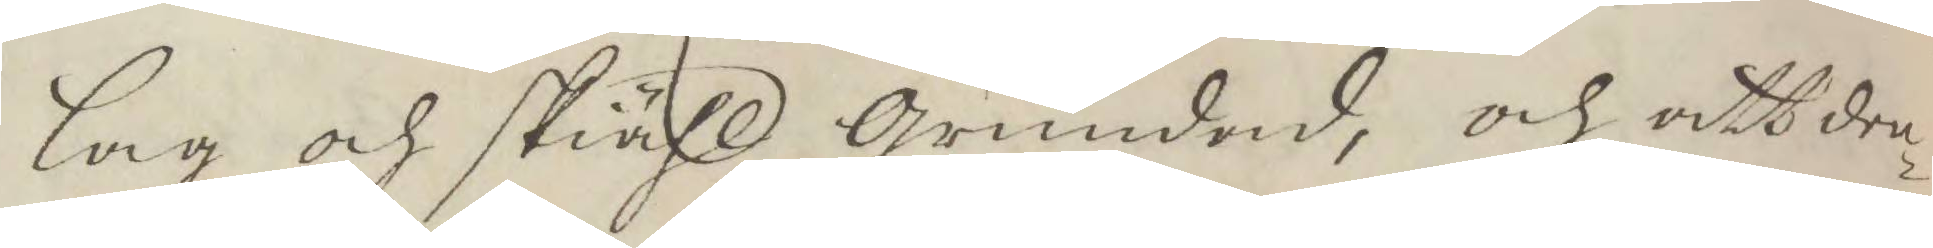lag och skiähl Grundade, och att den¬
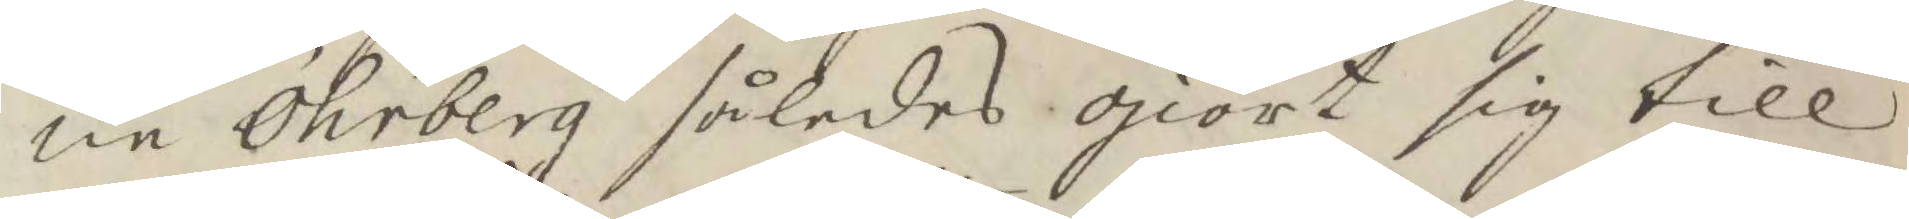ne Öhrberg således giort sig till
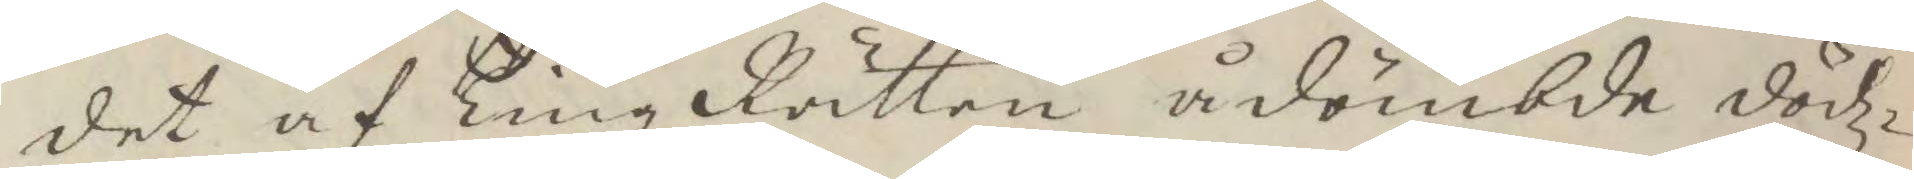det af Tingz Rätten ådömbde dödz¬
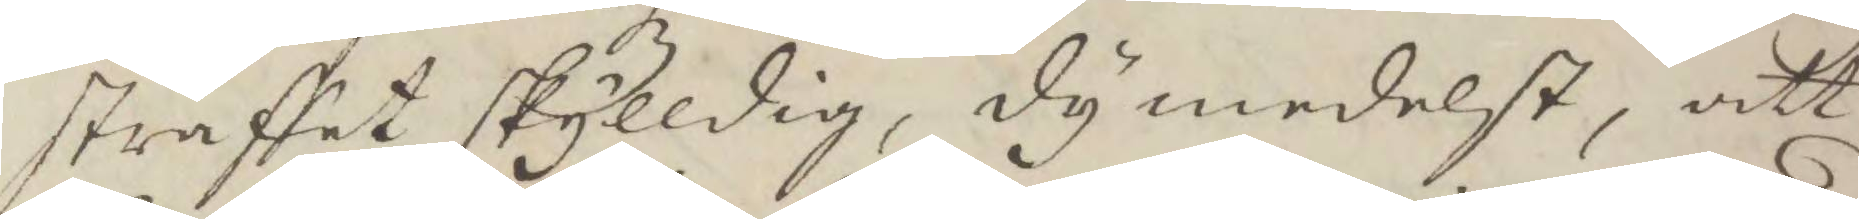straffet skylldig, dy medelst, att
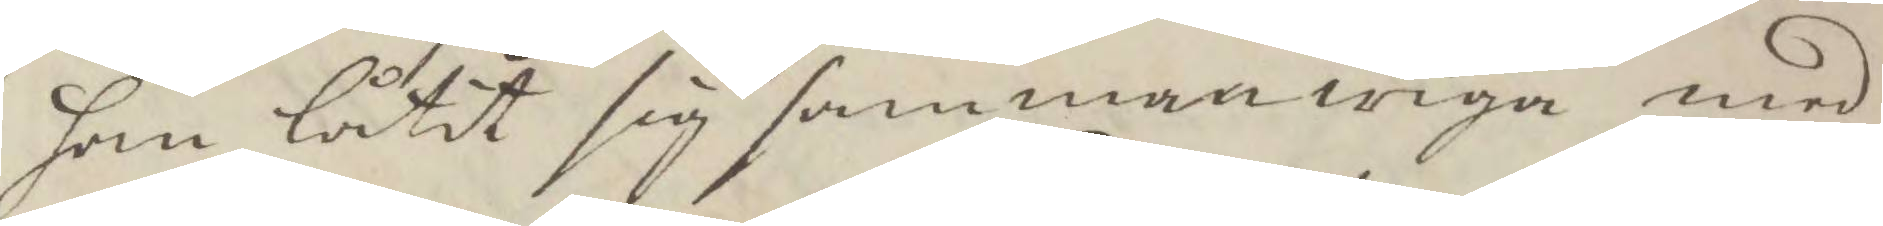han låtit sig sammanwiga med
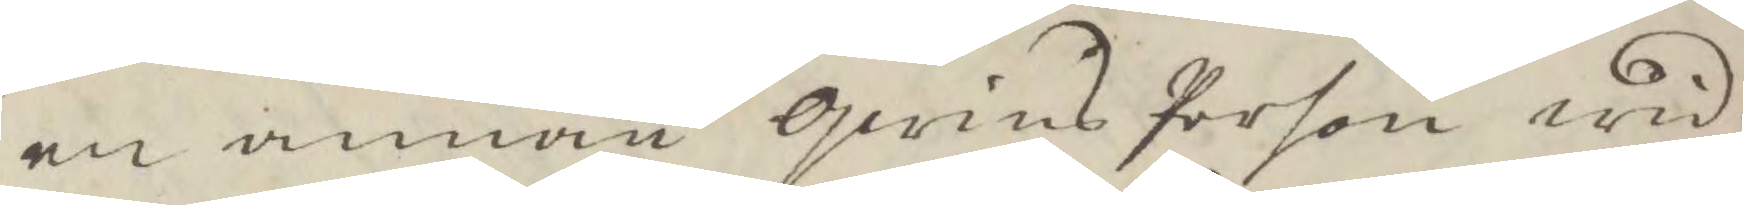en annan qwins Person wid
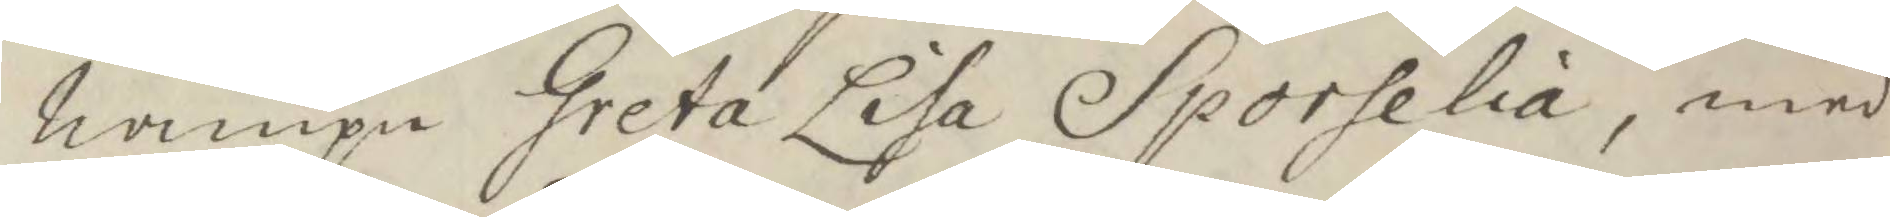nampn Greta Lisa Sporelia, med
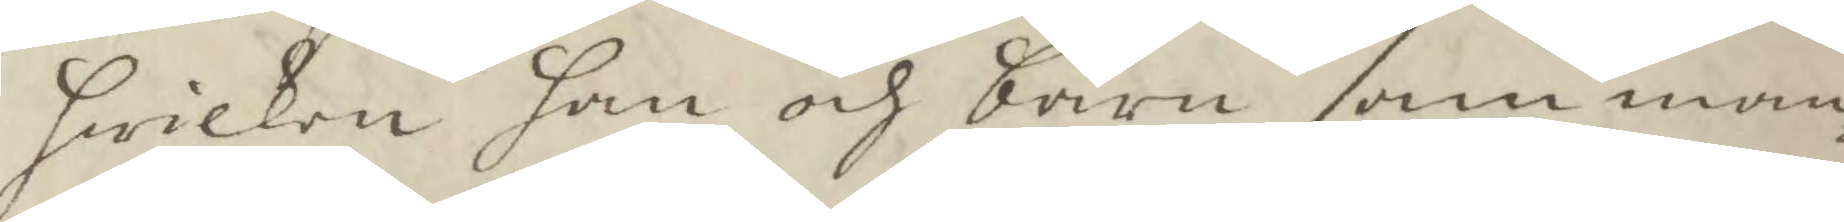hwilken han och barn samman¬
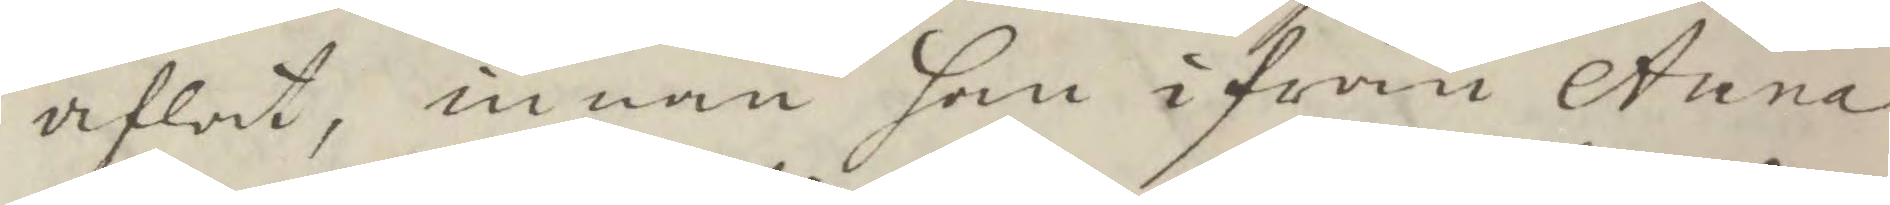aflat, innan han ifrån Anna
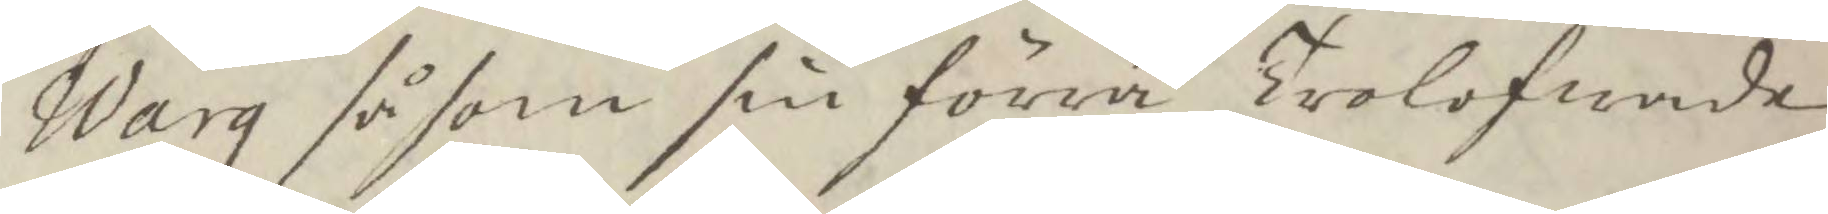Warg såsom sin förra Trolofwande
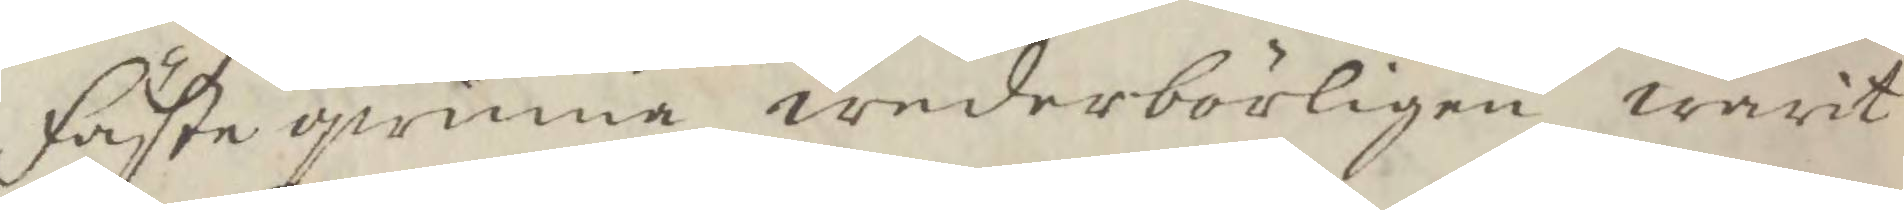Fästeqwinna wederbörligen warit
